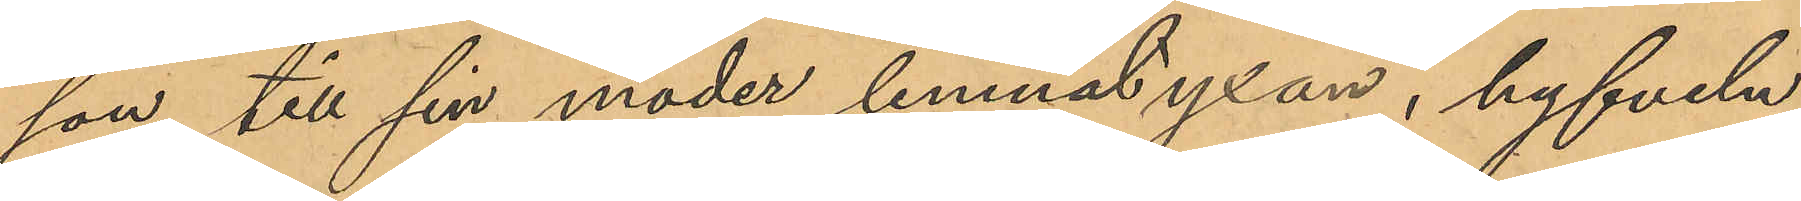son till sin moder lemnat yxan, hyfveln
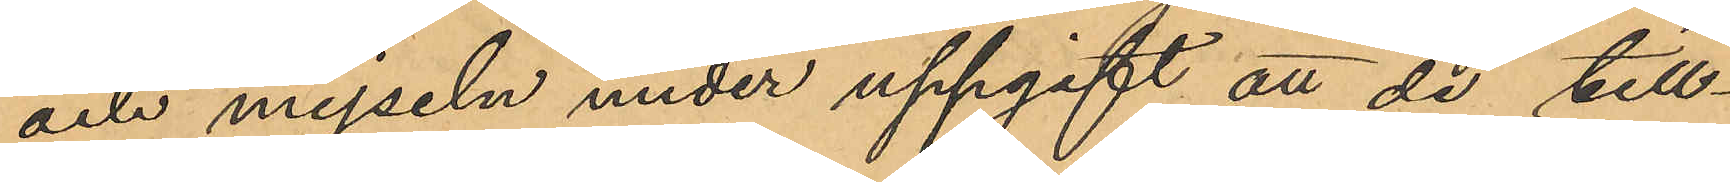och mejseln under uppgift att de till¬
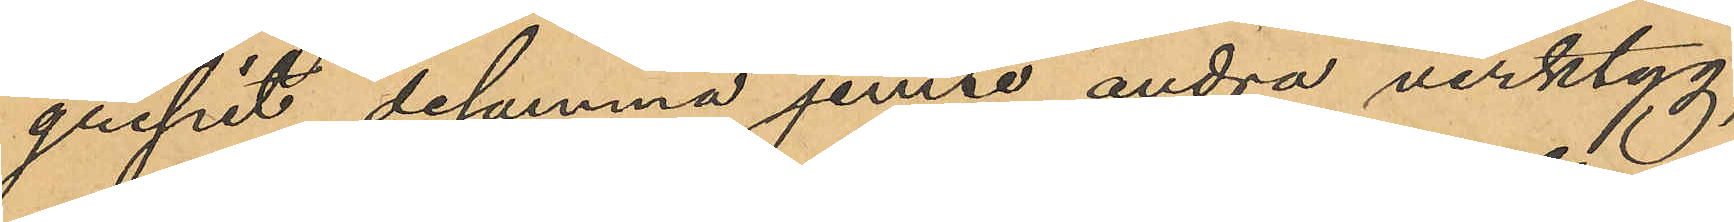gripit desamma jemte andra verktyg,
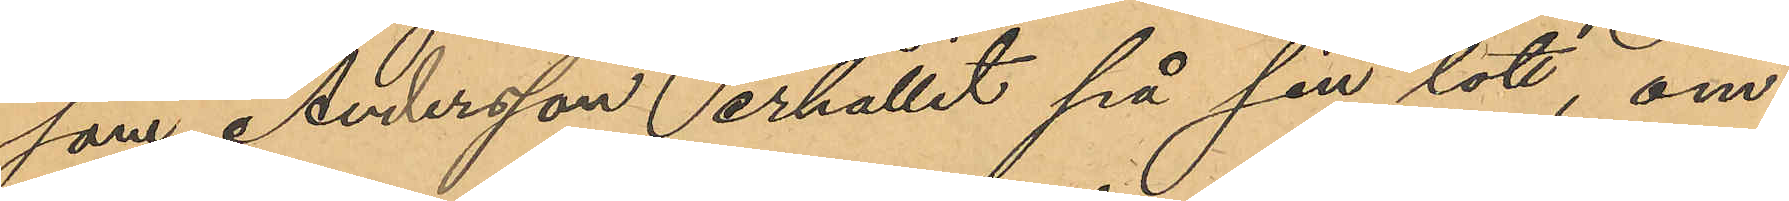som Andersson erhållit på sin lott om¬
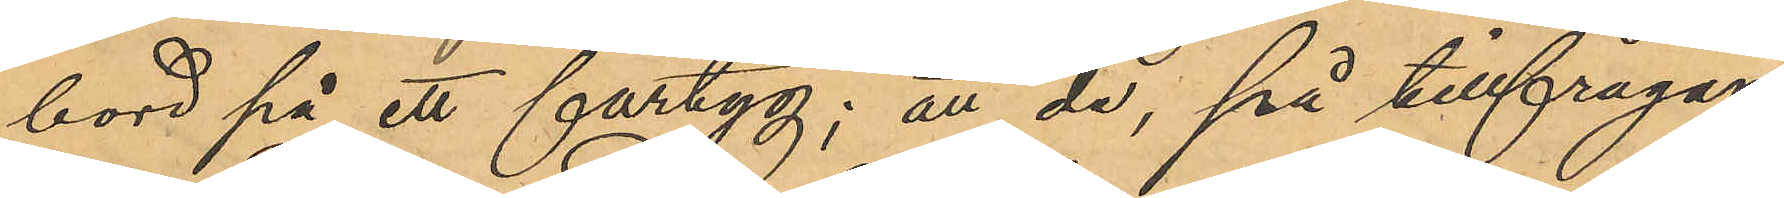bord på ett fartyg; att de, på tillfrågan
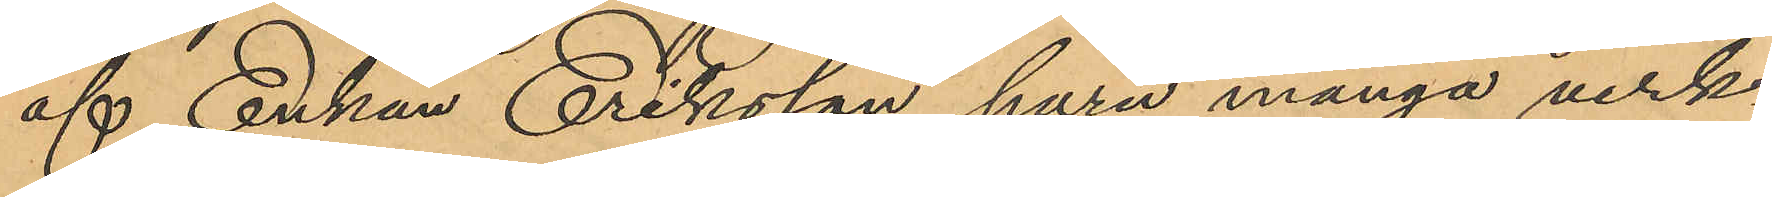af Enkan Eriksson huru många verk¬
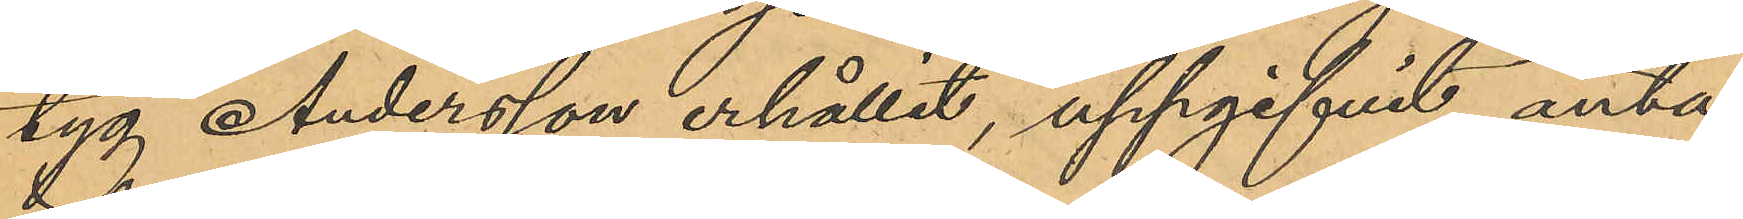tyg Andersson erhållit, uppgifvit anta¬
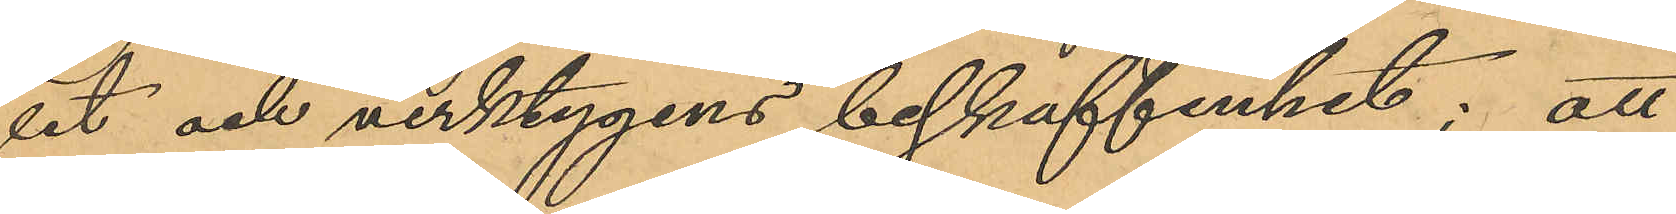let och verktygens beskaffenhet; att
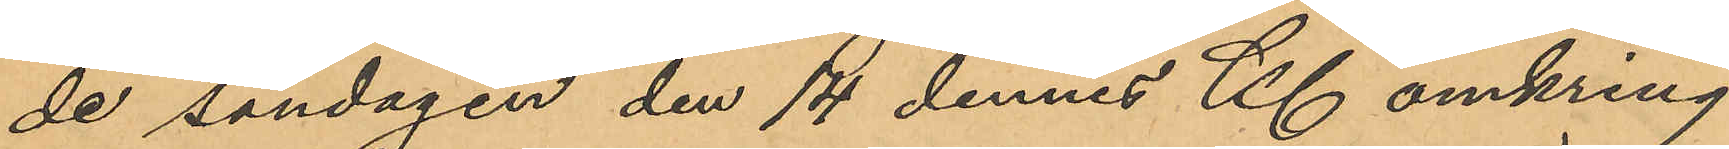de söndagen den 14 dennes Kl omkring
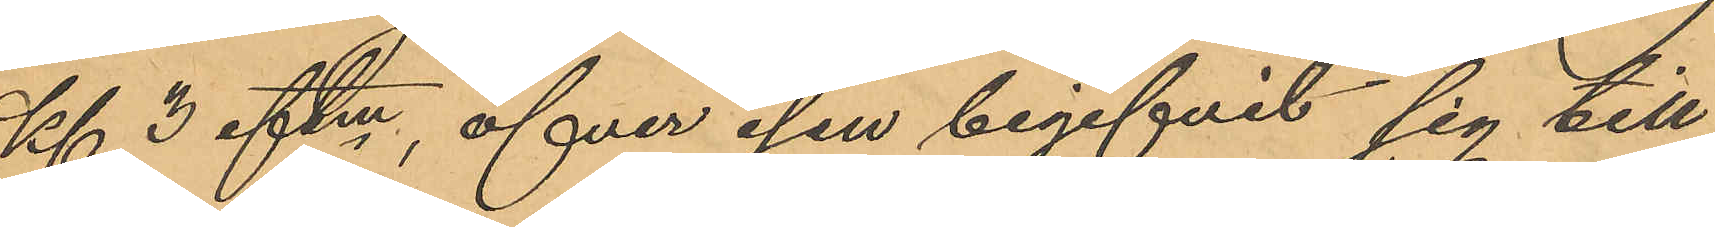Kl 3 eftm, öfver isen begifvit sig till
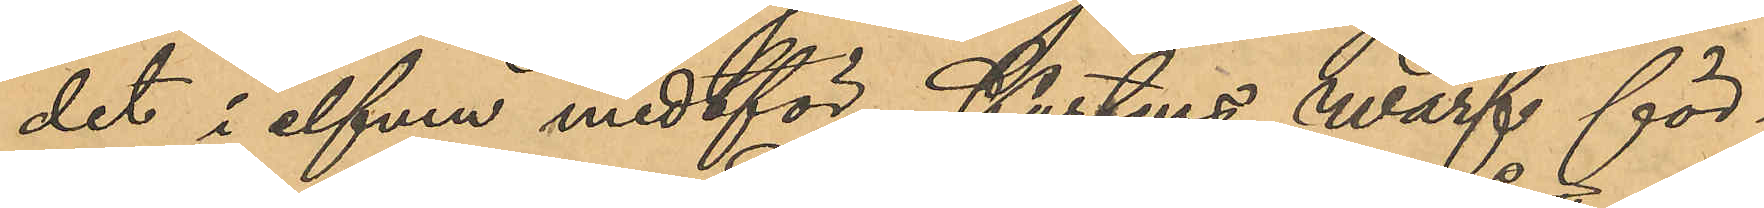det i elfven midtför Kustens hvarf för¬
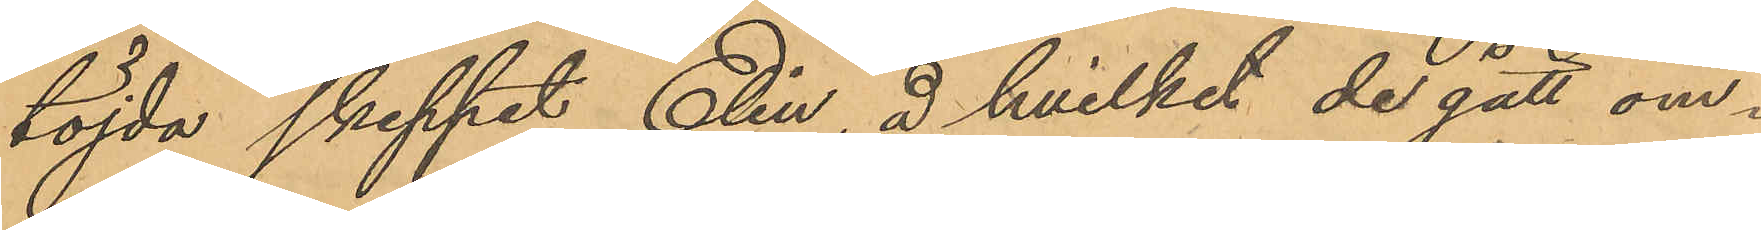töjda skeppet Elin, å hvilket de gått om¬
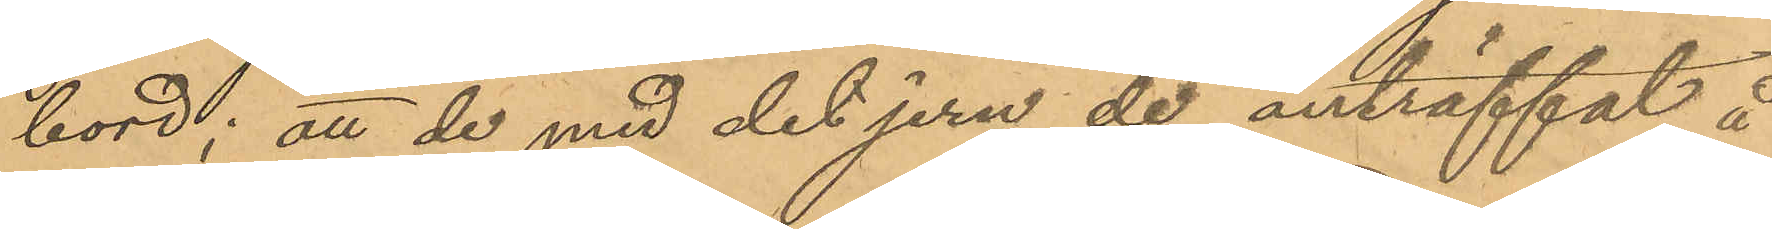bord; att de med det jern de anträffat å
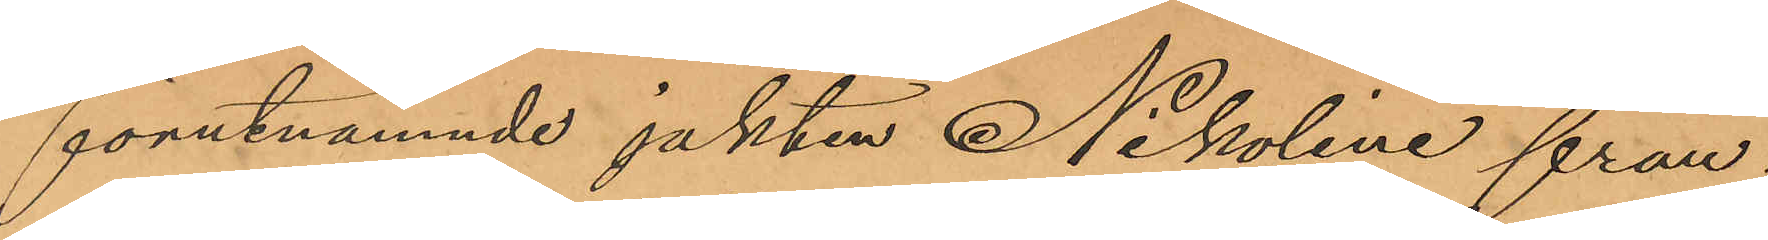förutnämnde jakten Nikoline från¬
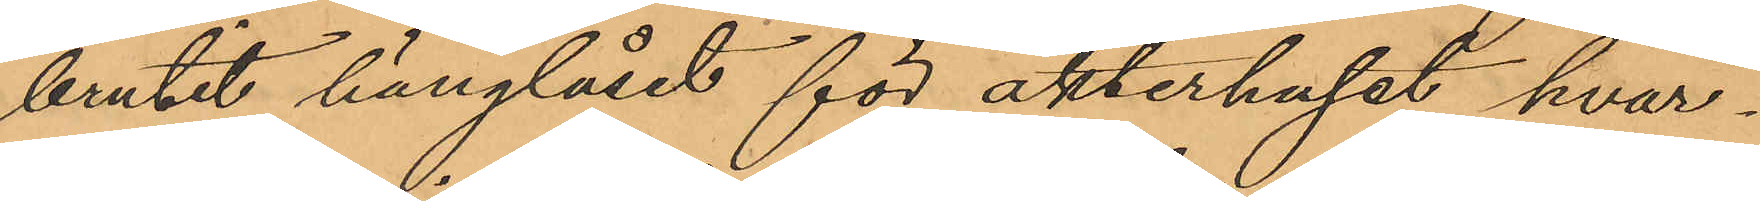brutit hänglåset för akterhuset hvar¬
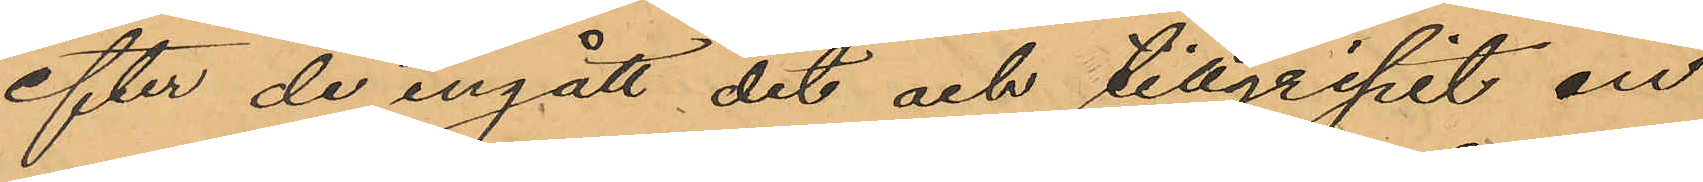efter de ingått dit och tillgripit en
